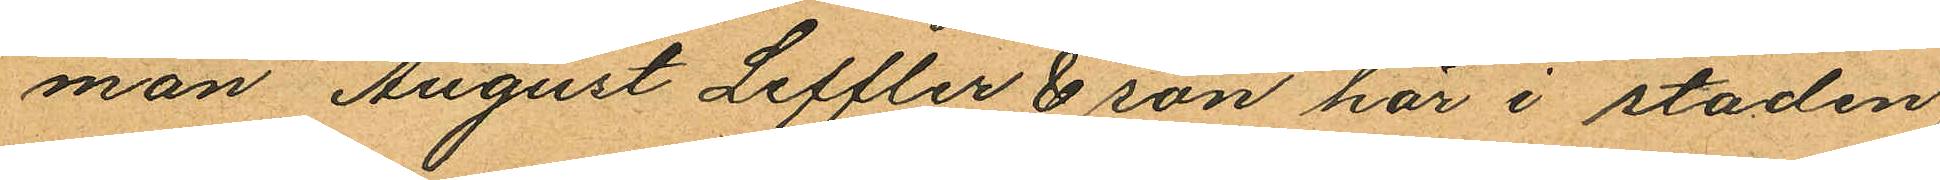man August Leffler & son här i staden
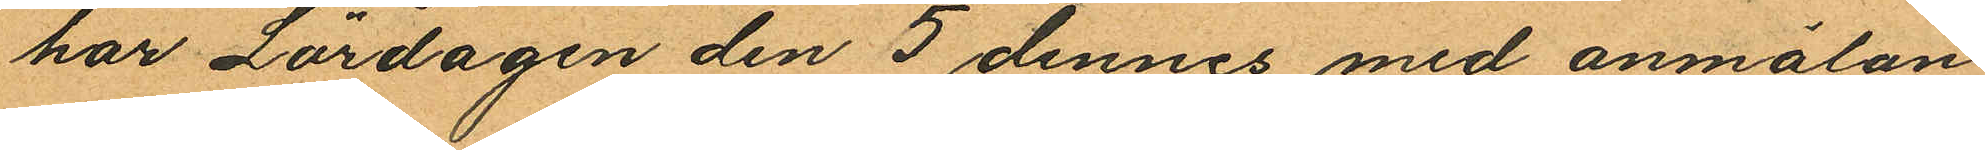har Lördagen den 5 dennes med anmälan
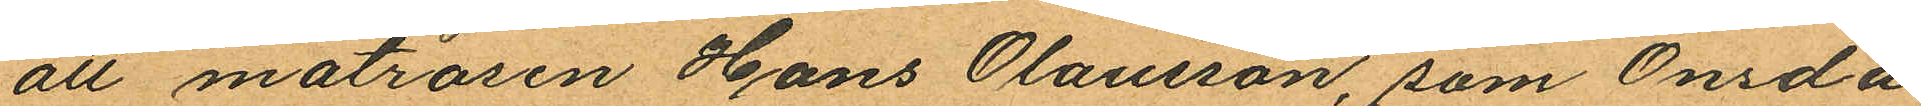att matrosen Hans Olausson, som Onsda¬
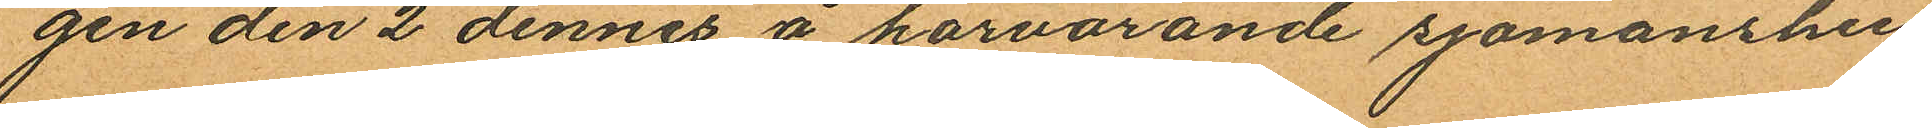gen den 2 dennes å härvarande sjömanshus
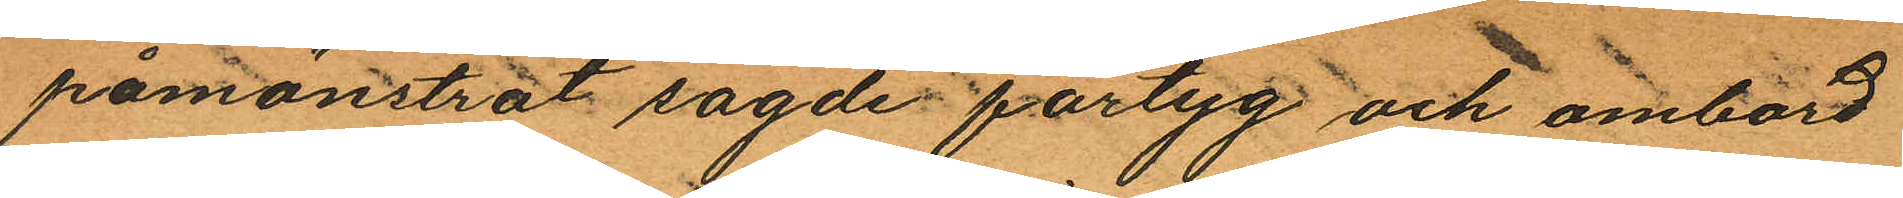påmönstrat sagde fartyg och ombord
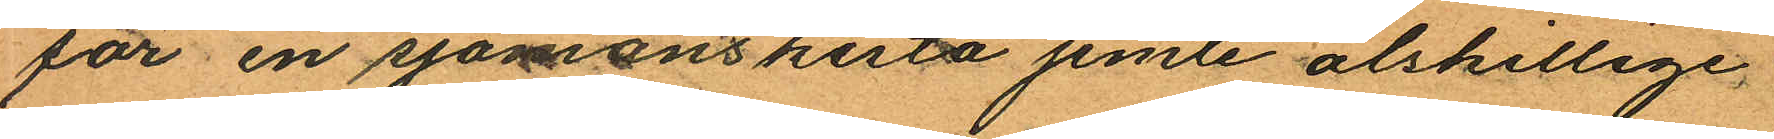för en sjömanskista jemte ålskillige
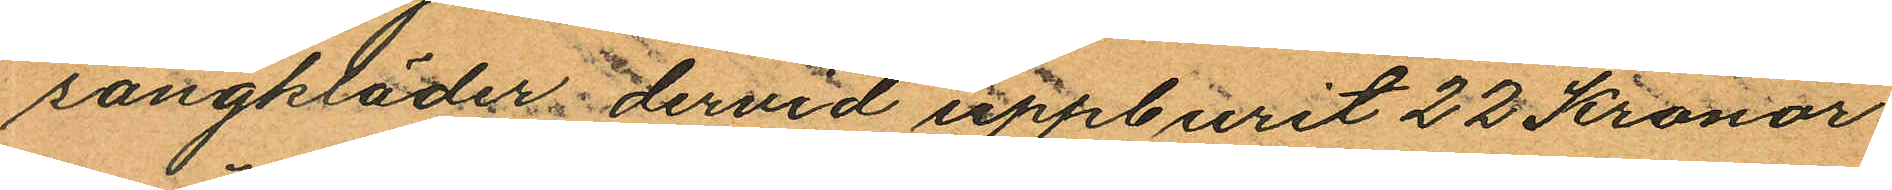sängkläder dervid uppburit 22 Kronor
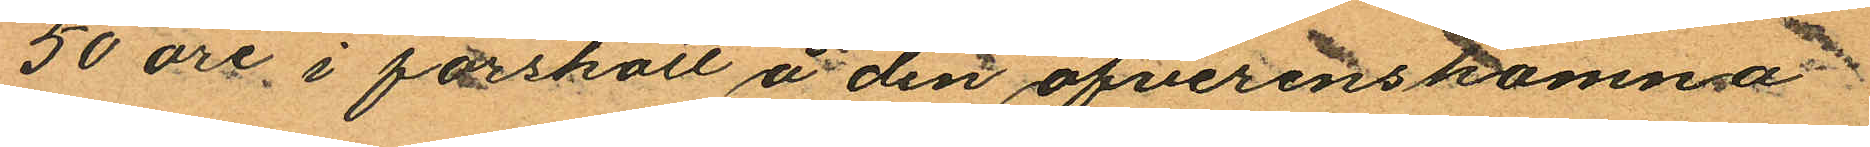50 öre i förskott å den öfverenskomma
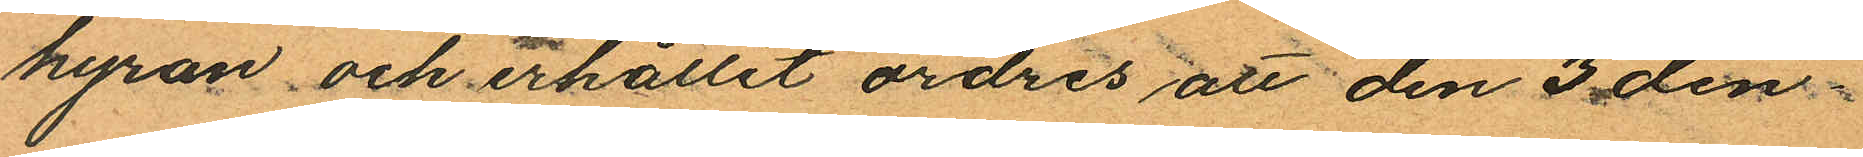hyran och erhållit ordres att den 3 den¬
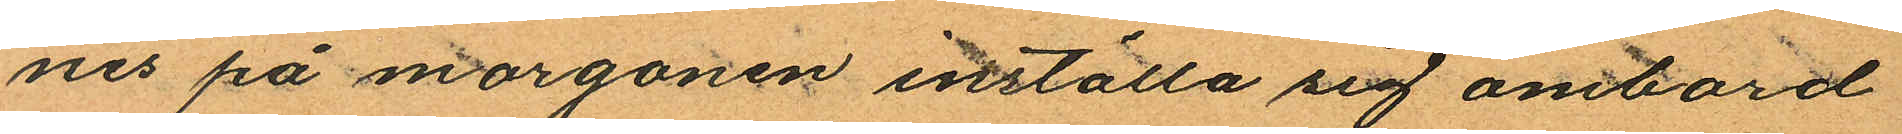nes på morgonen inställa sig ombord
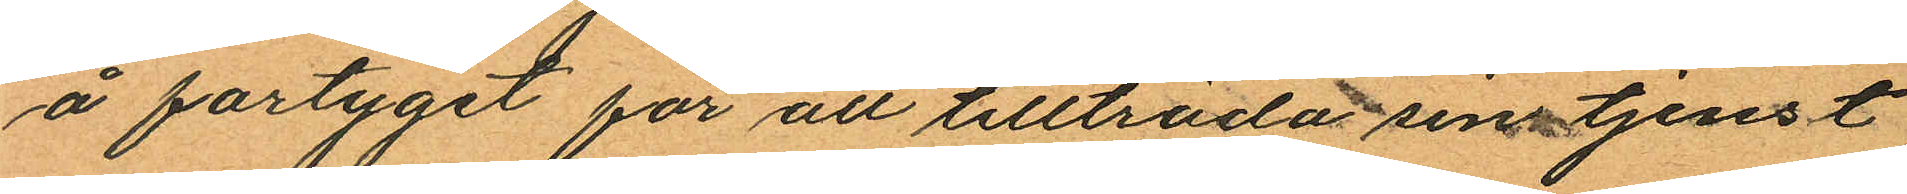å fartyget för att tillträda sin tjenst
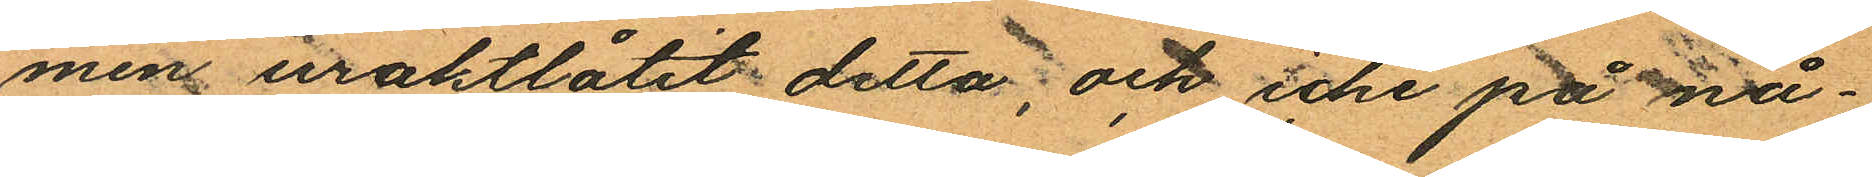men uraktlåtit detta; och icke på nå¬
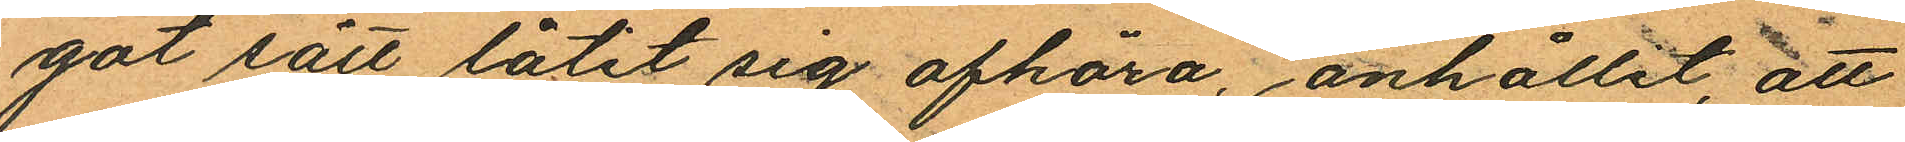got sätt låtit sig afhöra, anhållit att
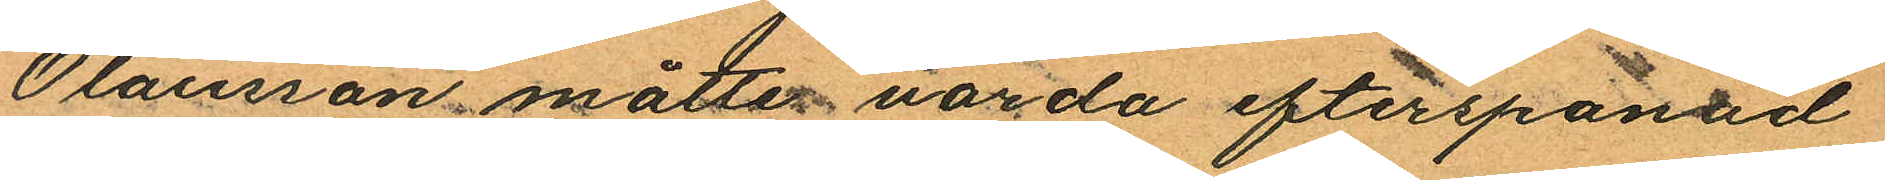Olausson måtte varda efterspanad
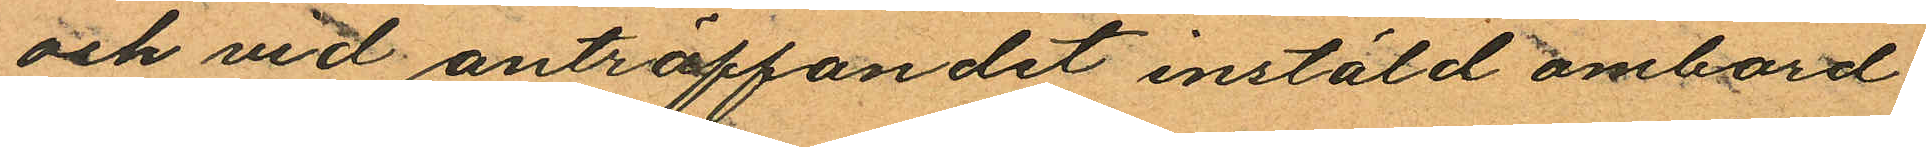och vid anträffandet instäld ombord
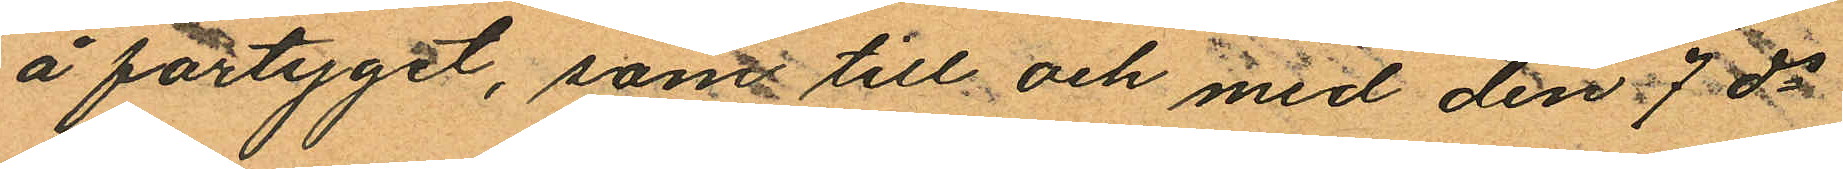å fartyget, samt till och med den 7 ds
